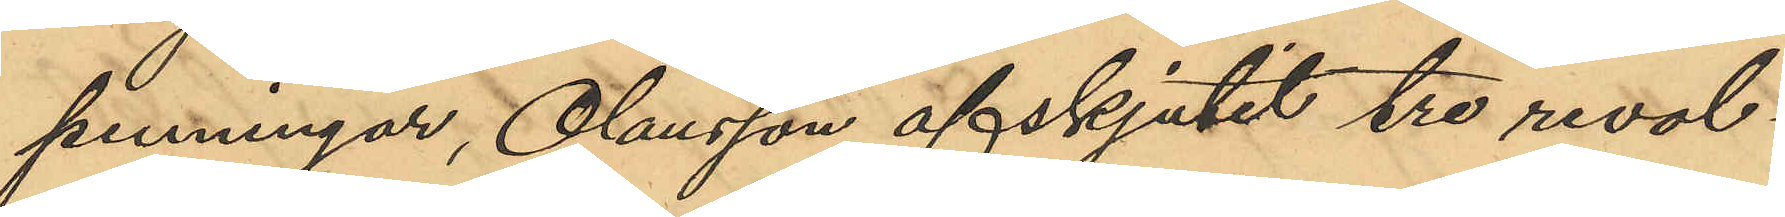penningar, Olausson afskjutit tre revol¬
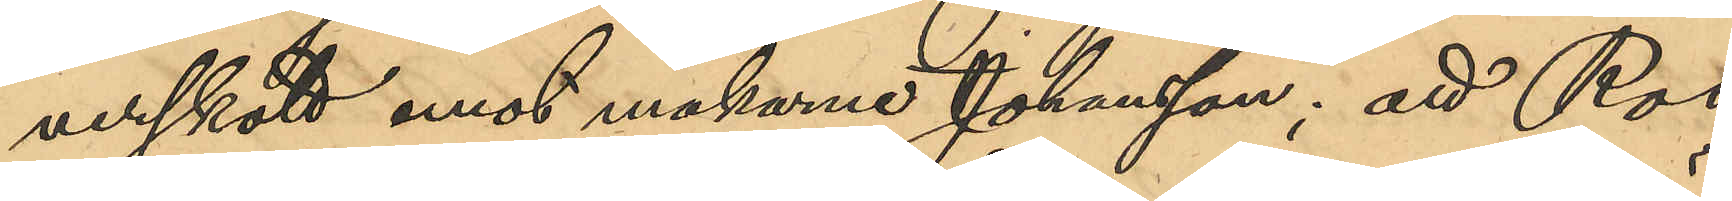verskott emot makarne Johansson; att Ros
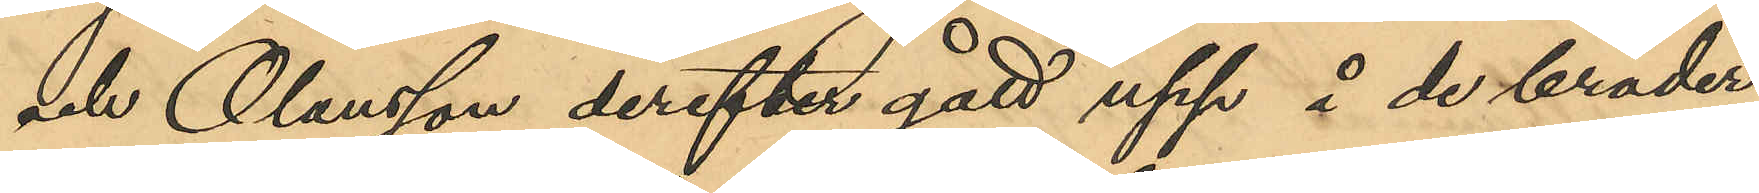och Olausson derefter gått upp å de bräder
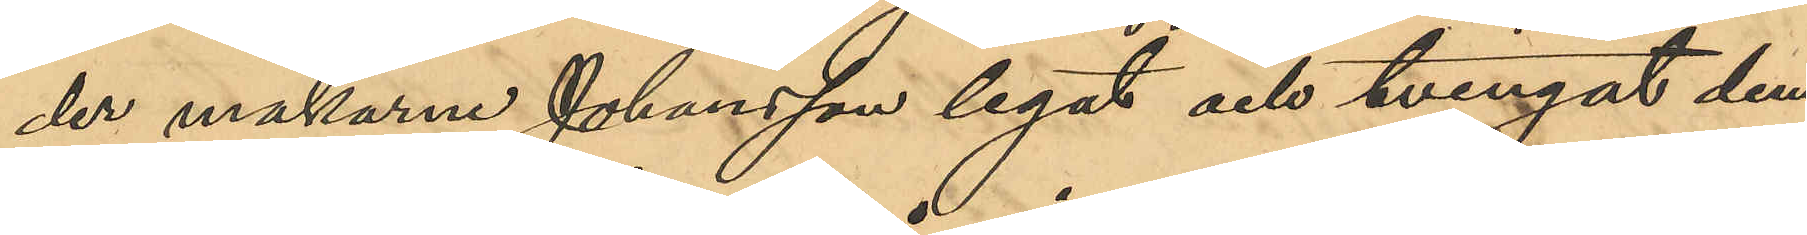der makarne Johansson legat och tvingat dem
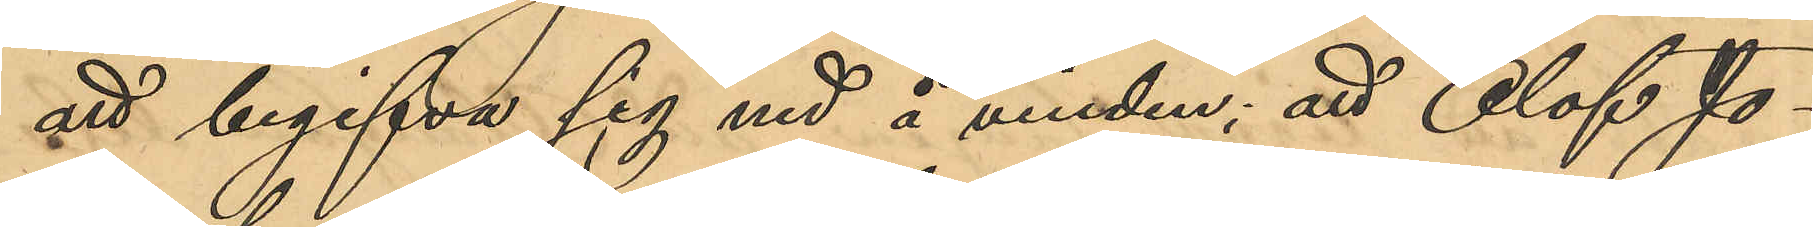att begifva sig ned å vinden; att Olof Jo¬
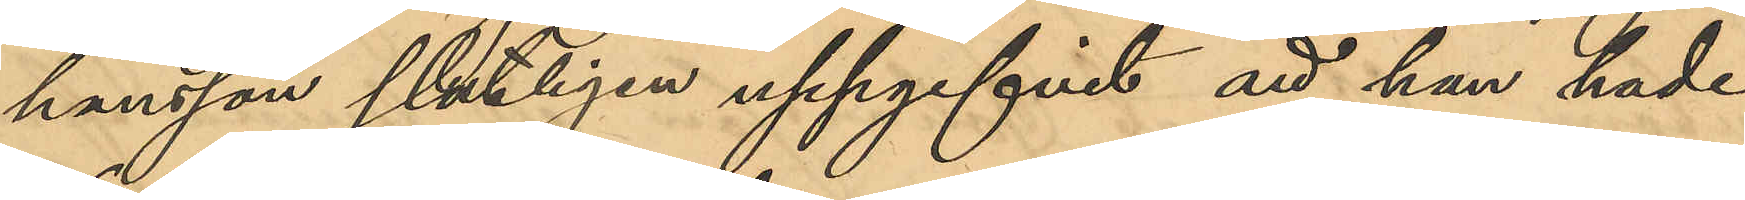hansson slutligen uppgifvit att han hade
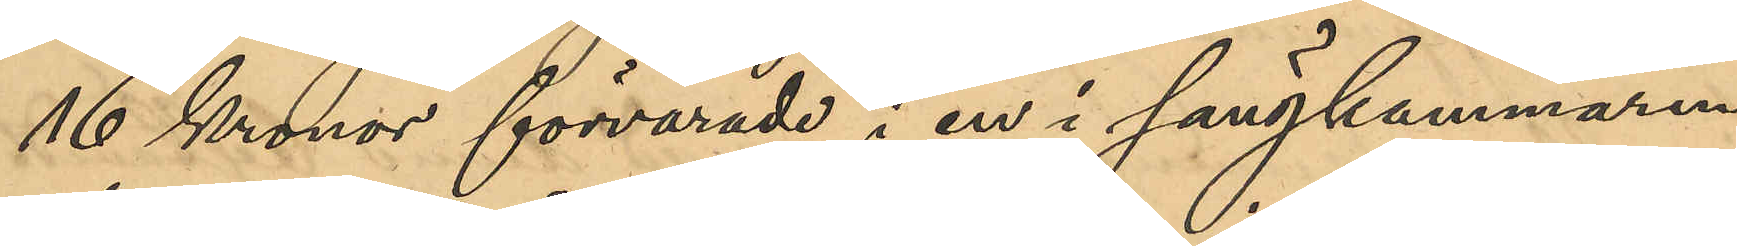16 Kronor förvarade i en i sängkammaren
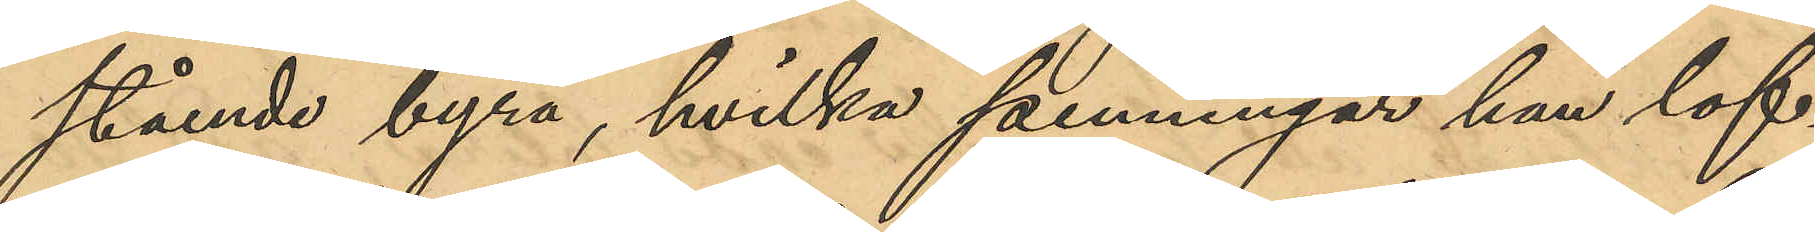stående byrå, hvilka penningar han lof¬
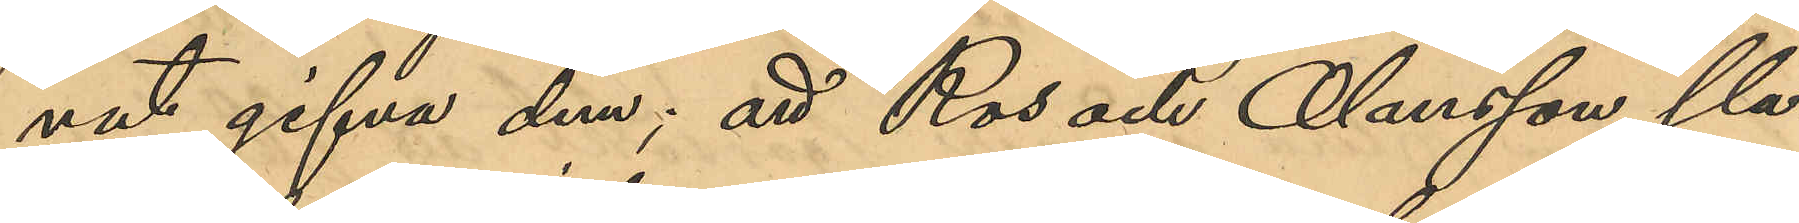vat gifva dem; att Ros och Olausson sla¬
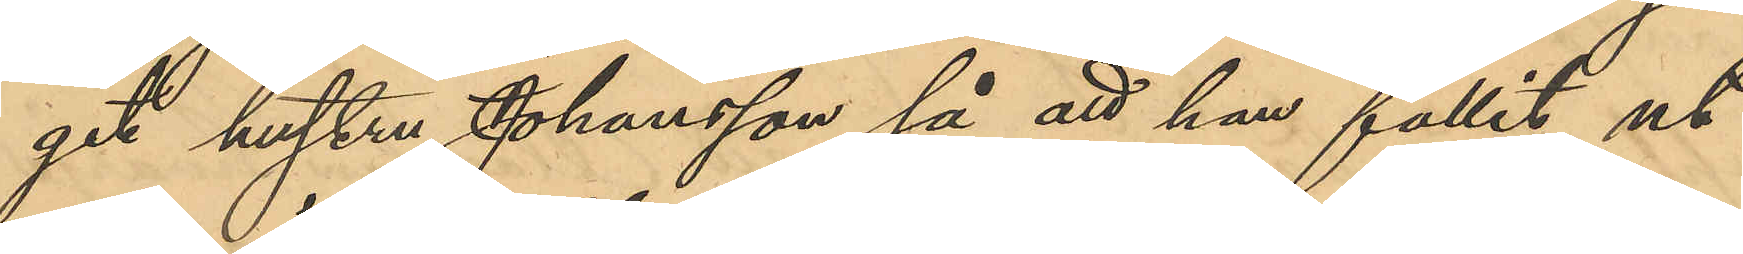git hustru Johansson så att hon fallit ut¬
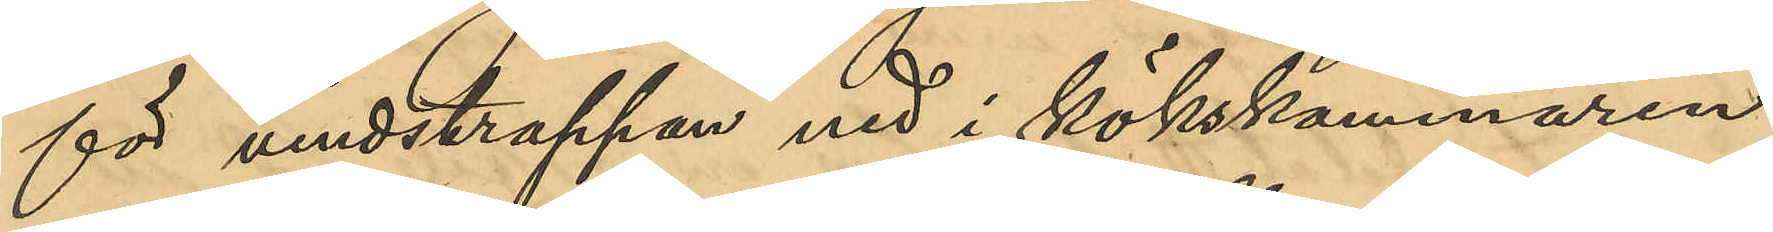för vindstrappan ned i kökskammaren;
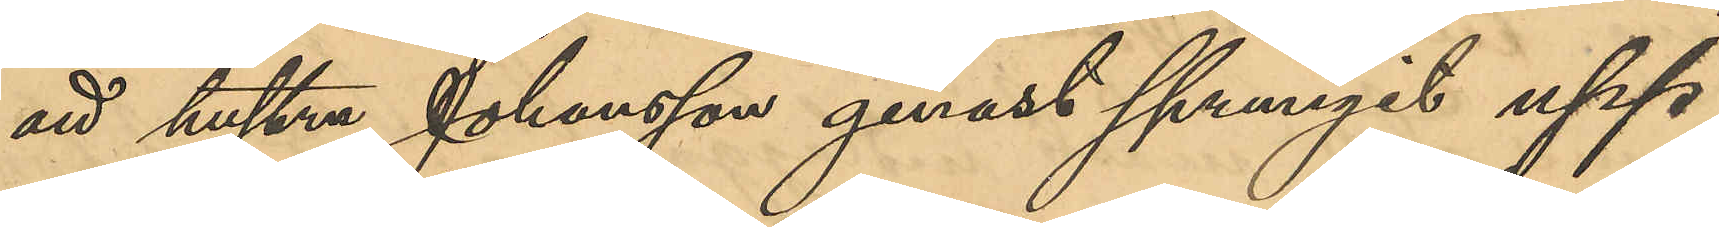att hustru Johansson genast sprungit upp
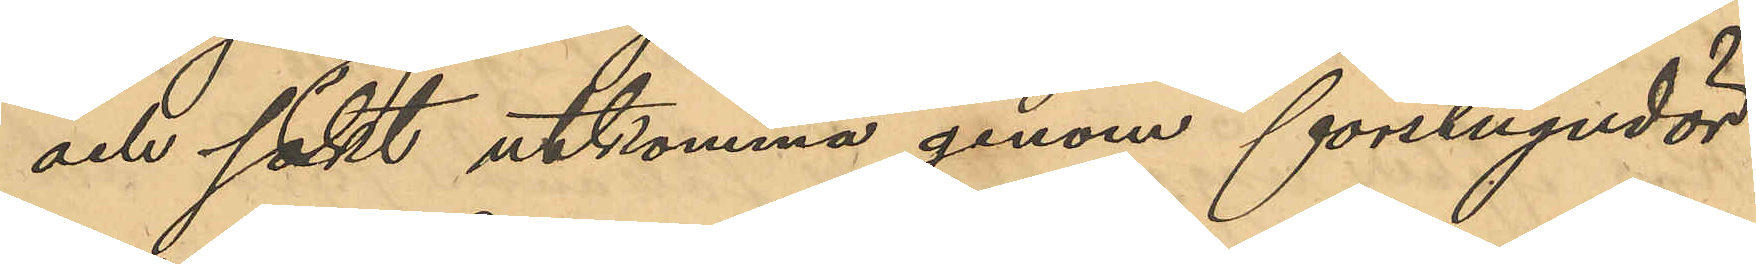och sökt utkomma genom förstugudör¬
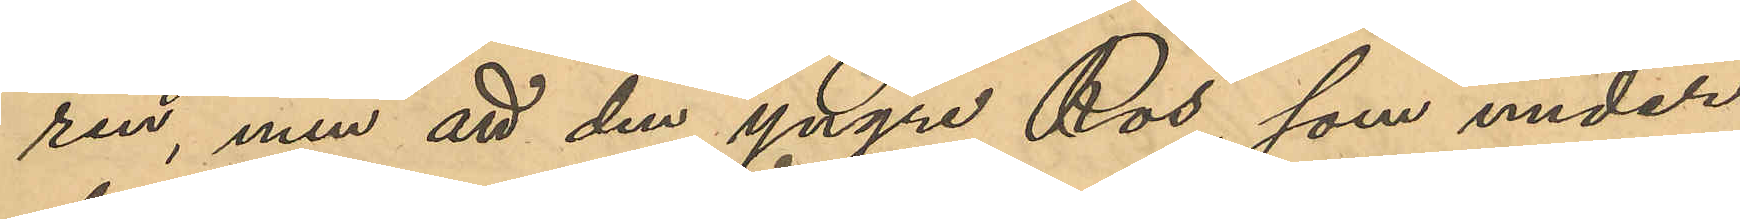ren, men att den yngre Ros, som under
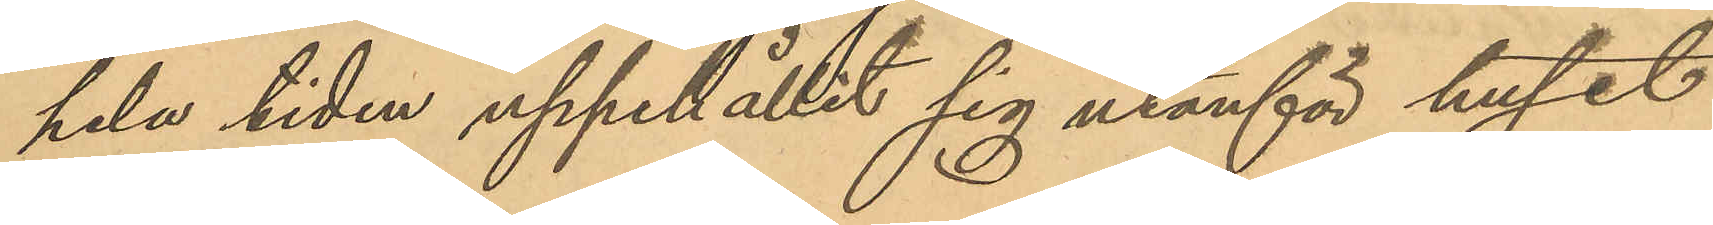hela tiden uppehållit sig utanför huset
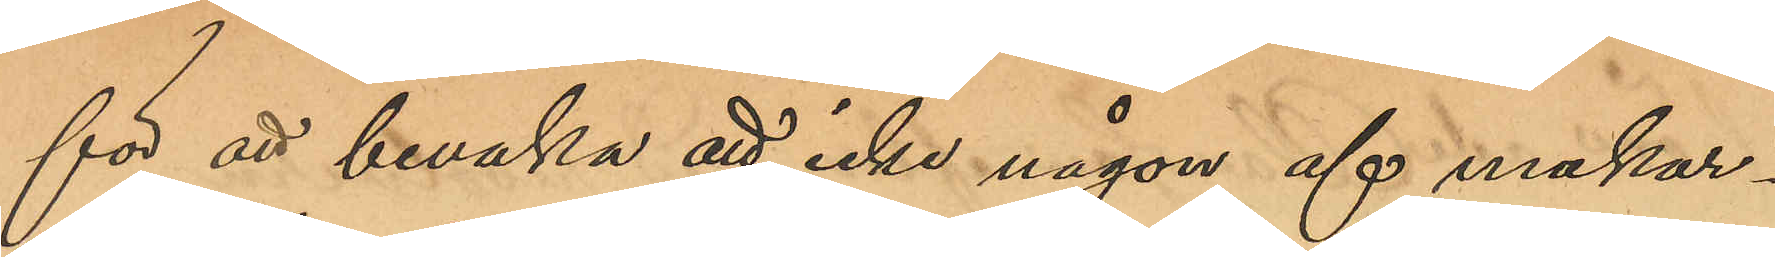för att bevaka att icke någon af makar¬
